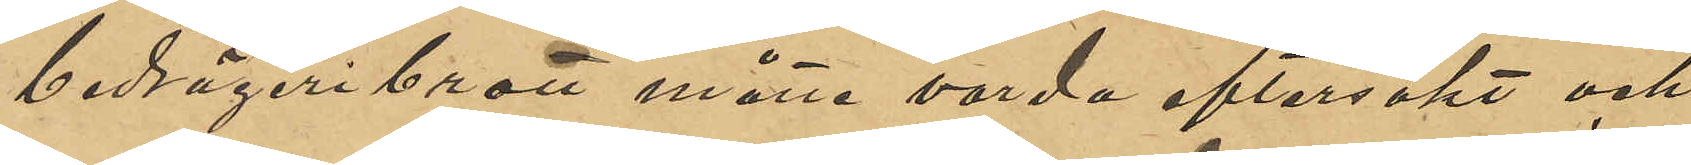bedrägeribrott måtte varda eftersökt och
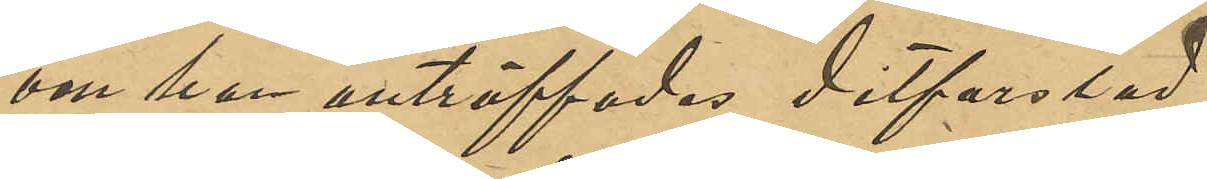om han anträffades ditforslad.
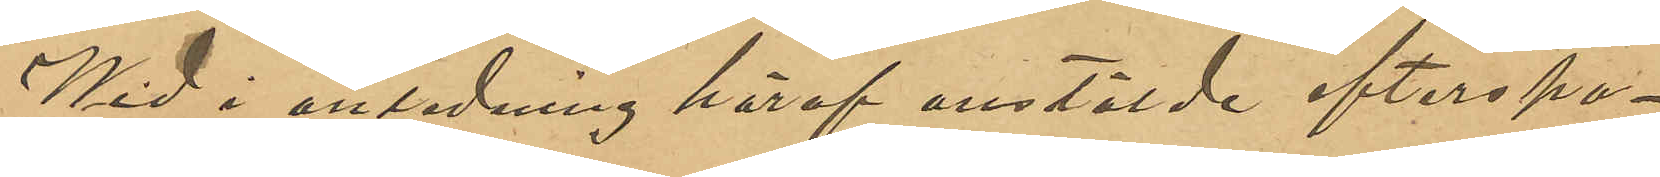Wid i anledning häraf anstälde efterspa¬
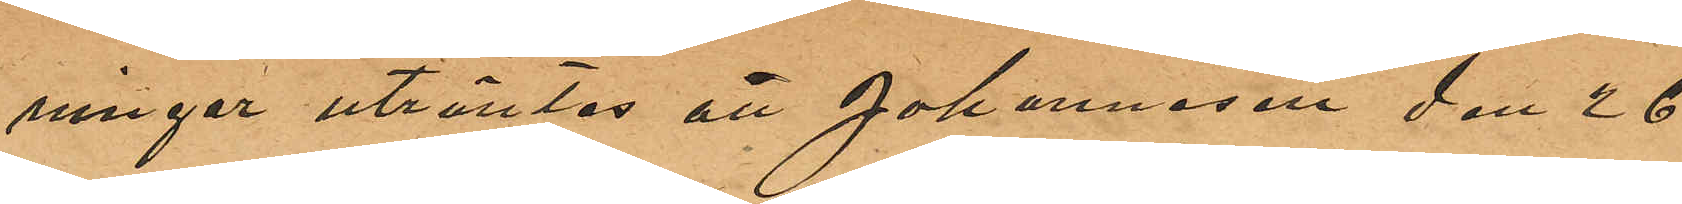ningar utröntes att Johannesen den 26
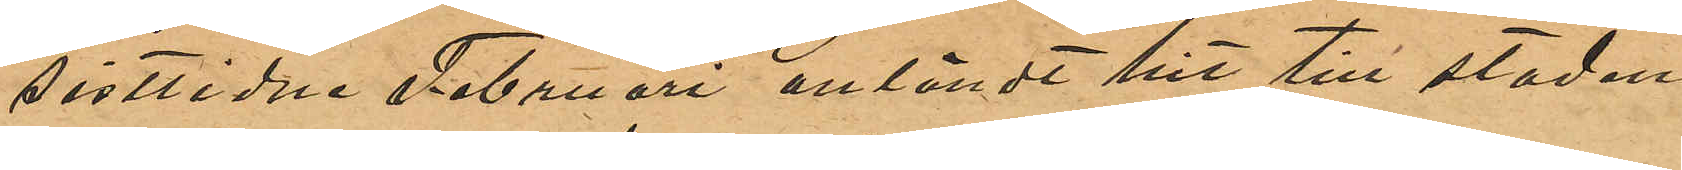sistlidne Februari anländt hit till staden
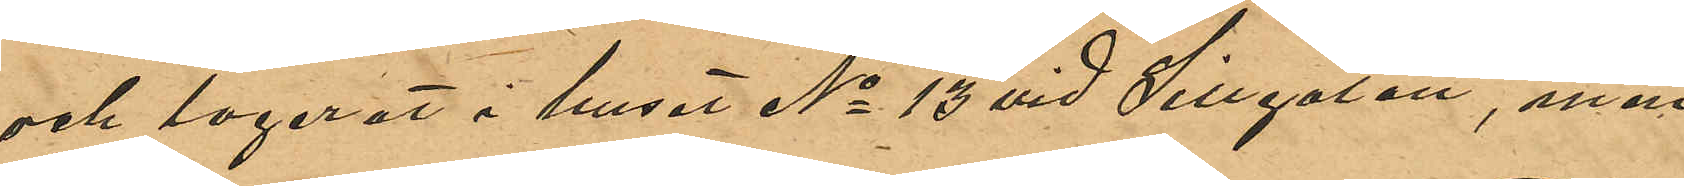och logerat i huset No 13 vid Sillgatan, men
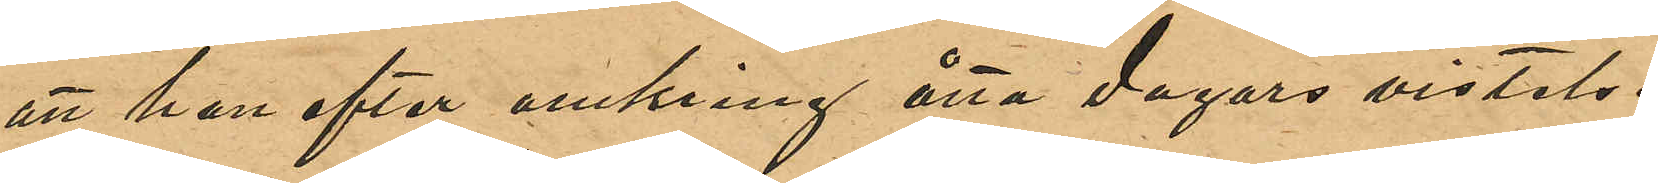att han efter omkring åtta dagars vistelse
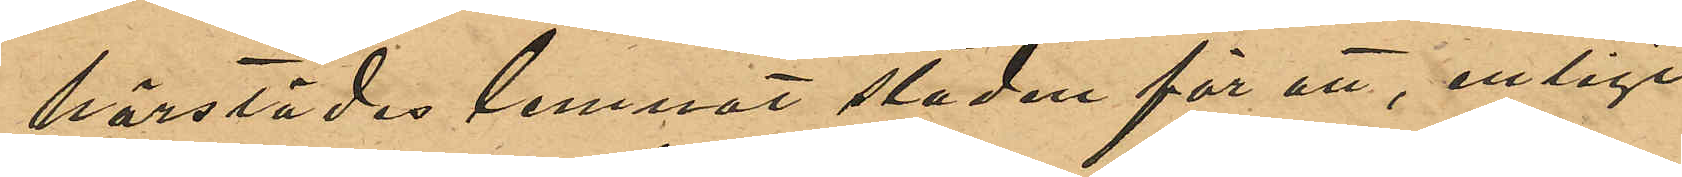härstädes lemnat staden för att, enligt
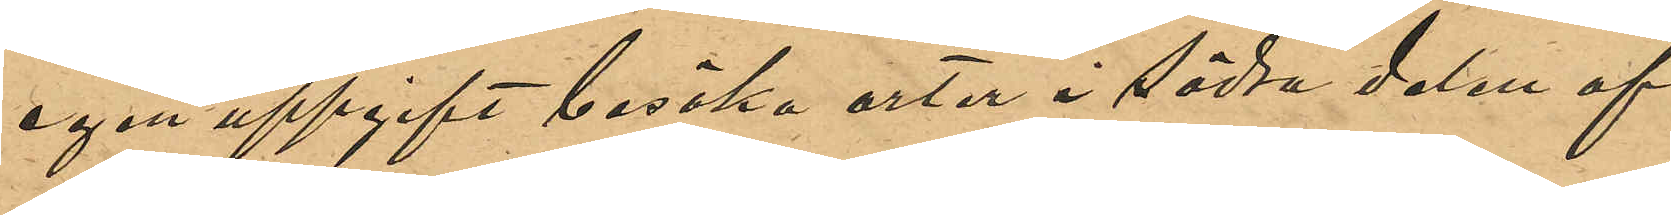egen uppgift besöka orter i södra delen af
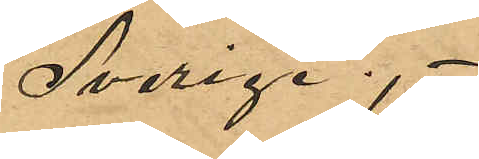Sverige.
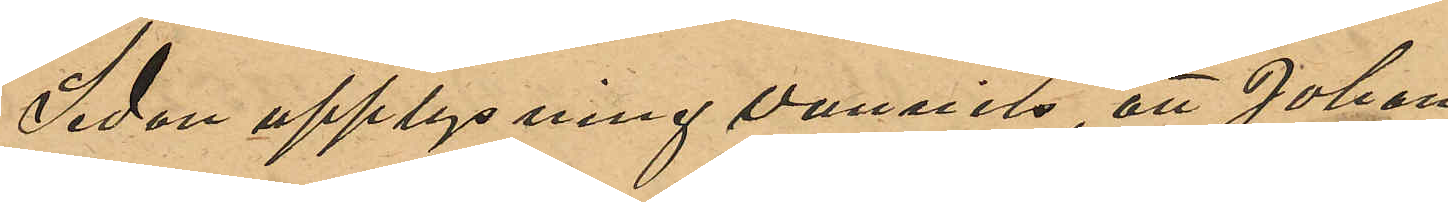Sedan upplysning vunnits, att Johan¬
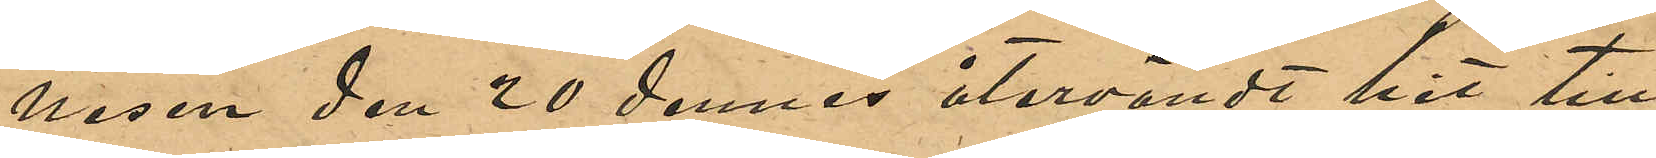nesen den 20 dennes återvändt hit till
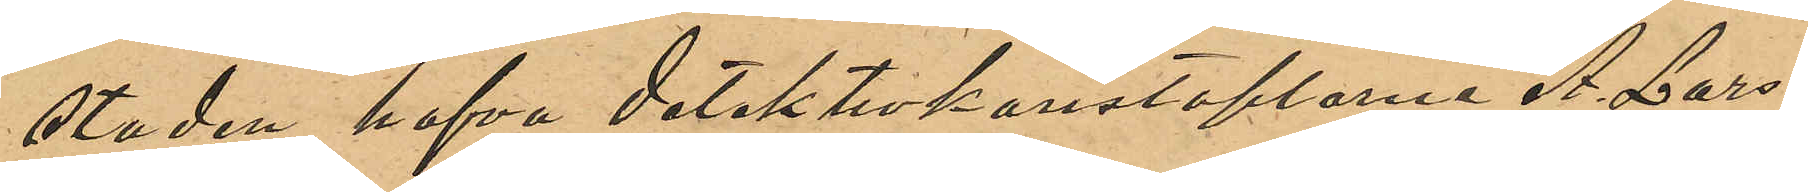staden, hafva Detektivkonstaplarne A. Lars¬
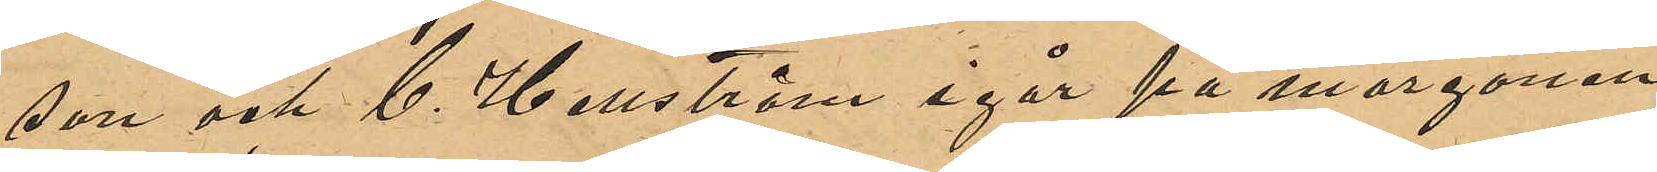son och C. Hellström igår på morgonen
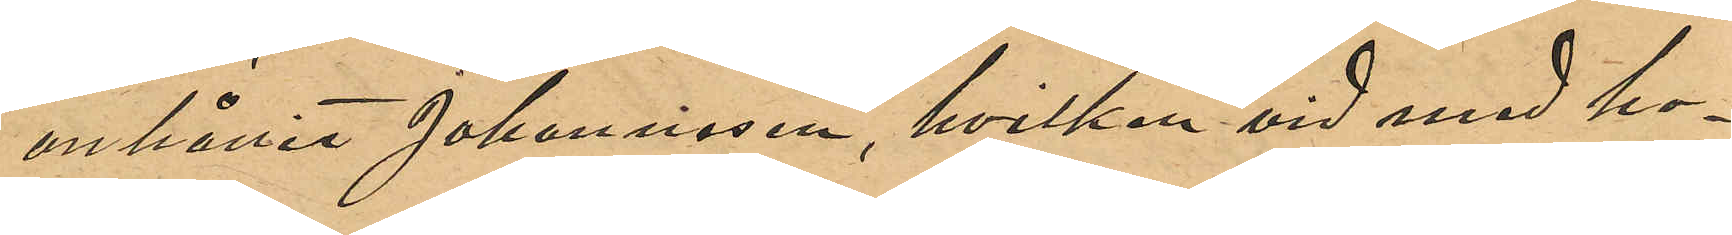anhållit Johannisen, hvilken vid med ho¬
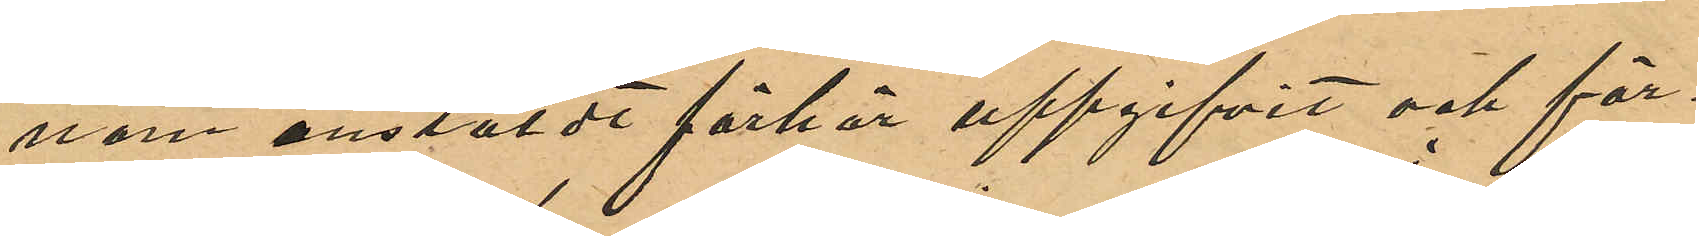nom anstäldt förhör uppgifvit och för¬
